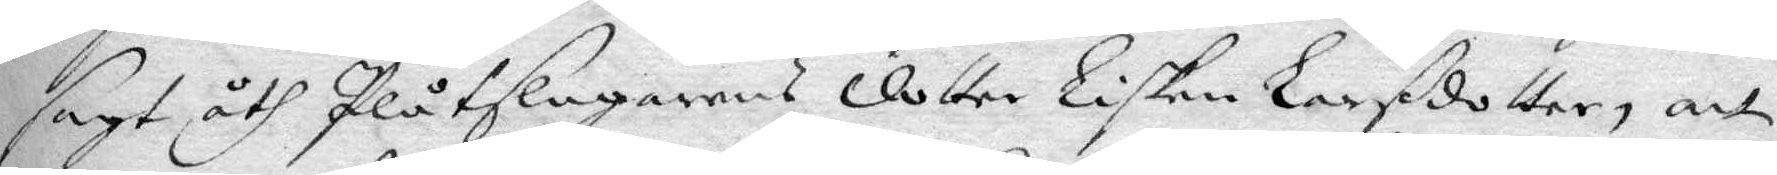sagt åth Plåtslagarens dotter Lisken Larßdotter, att
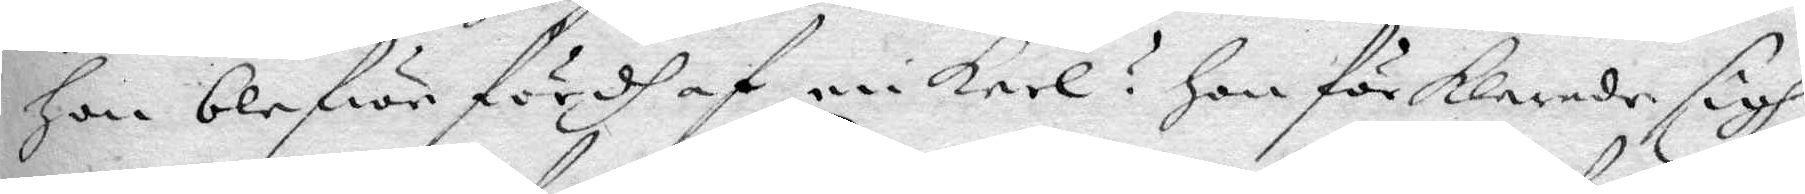hon blefwe fördh af en Karl? hon förklarade sigh
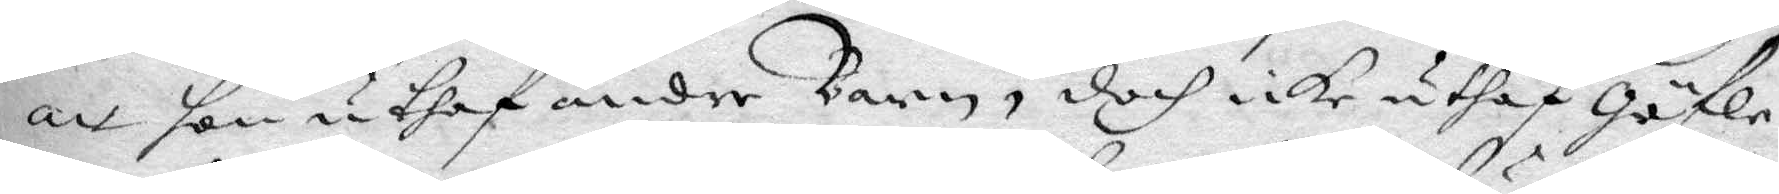att hon uthaf andre Barn, doch icke uthaf Gäle¬
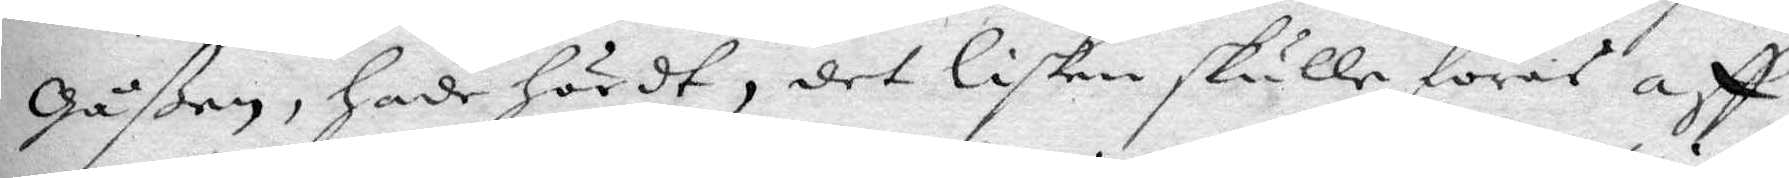Gåßen, hade hördt, det lisken skulle föras aff
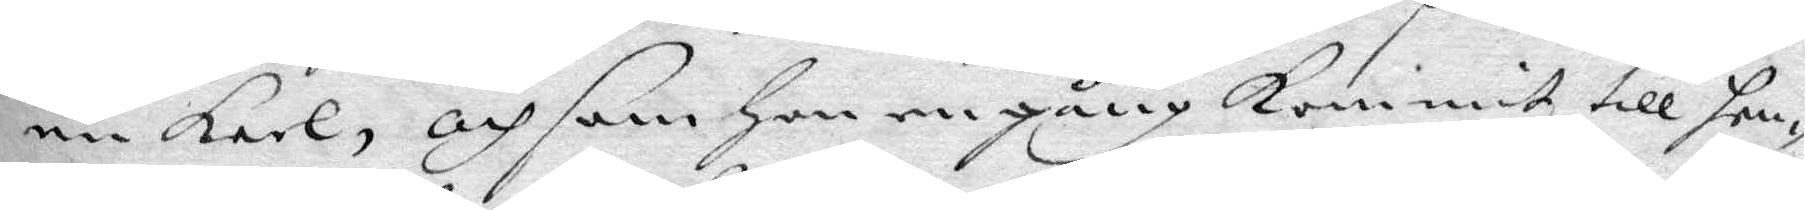en Karl, och som hon en gång kommit till hen¬
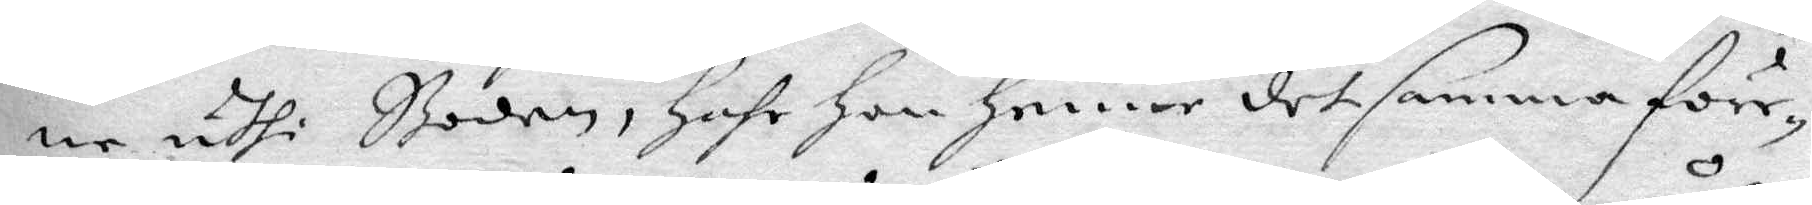ne uthi Boden, hfr hon henne det samma före¬
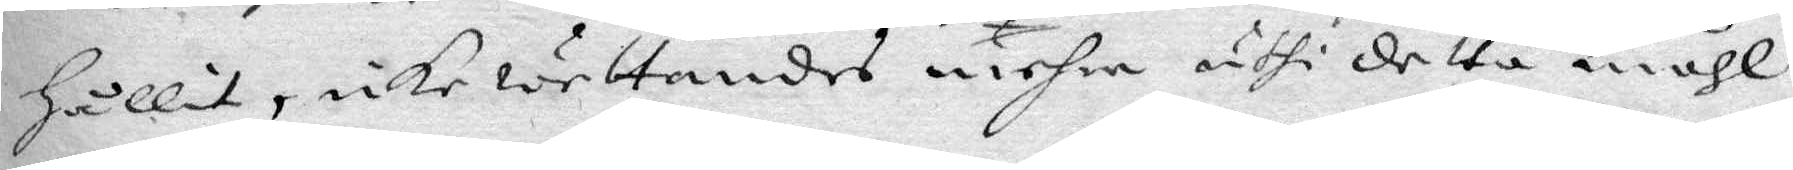hållit, icke wettandes mehre uthi detta måhl
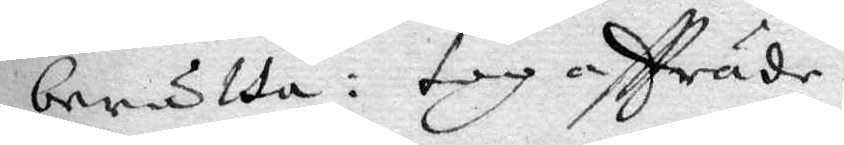berätta: tog aftträde.
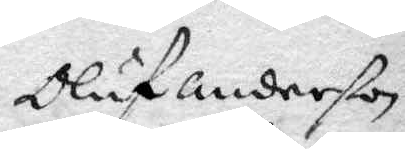Oluf Anderßon
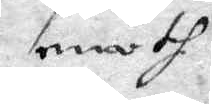emoth
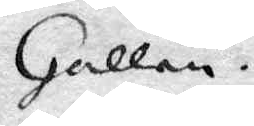Gallen.
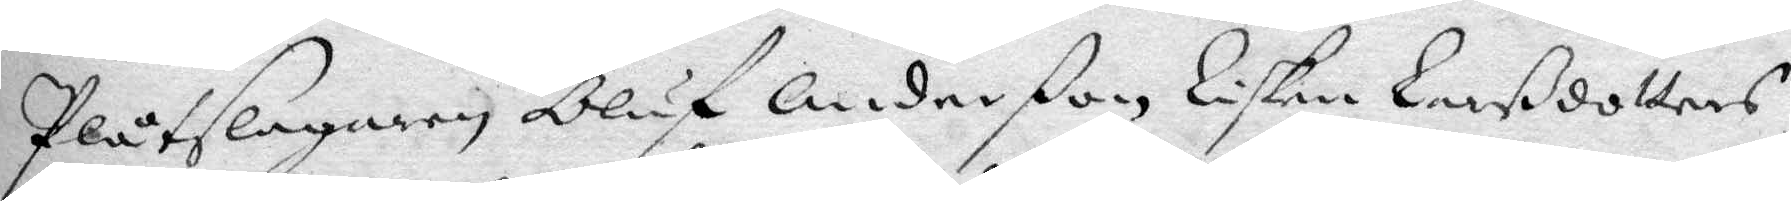plåtslagaren Oluf Anderßon Lisken Larßdotters
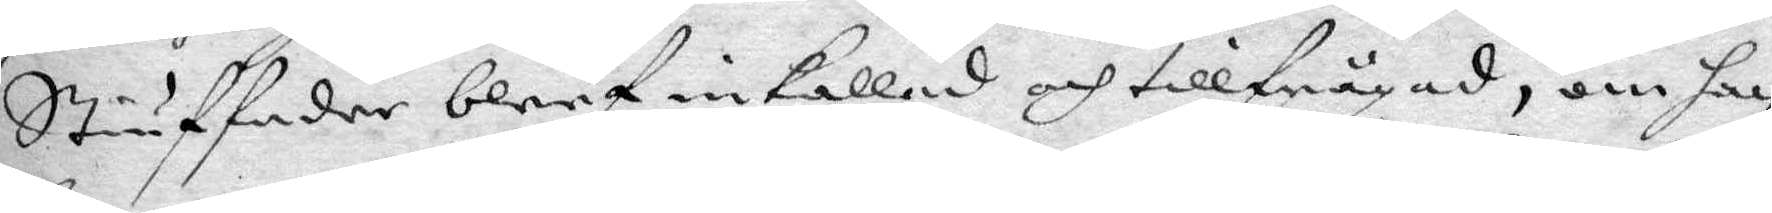Stiuffader bleef inkallad och tillfrågad, om han
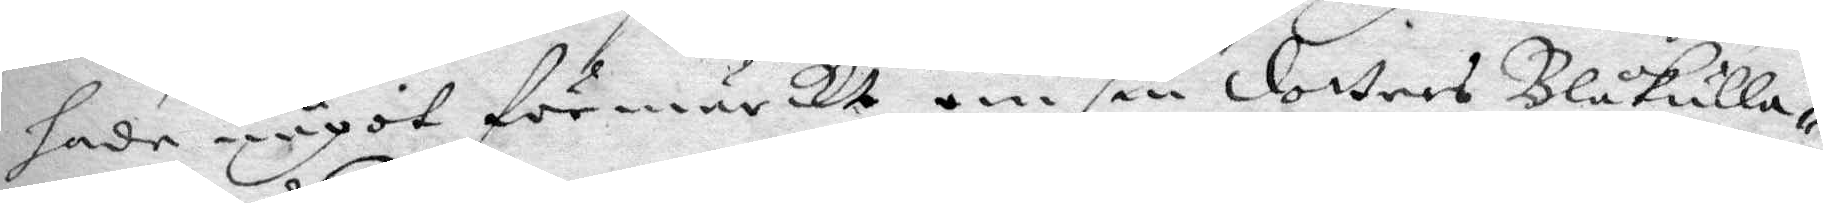hade något förmärckt om sin dotters Blåkulla¬
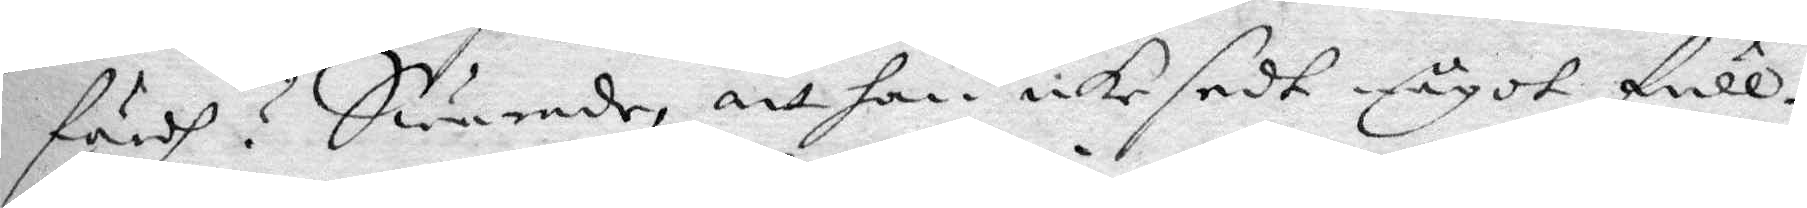färdh? Swarade, att han icke sedt någit full¬
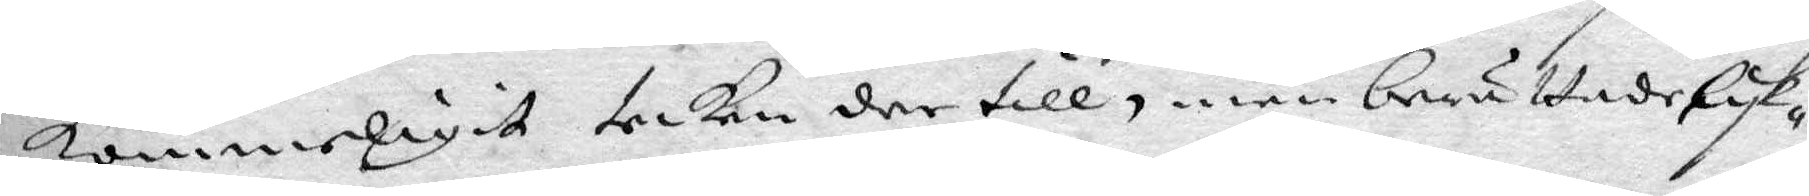kommerligit tecken der till, men berättade lyk¬
